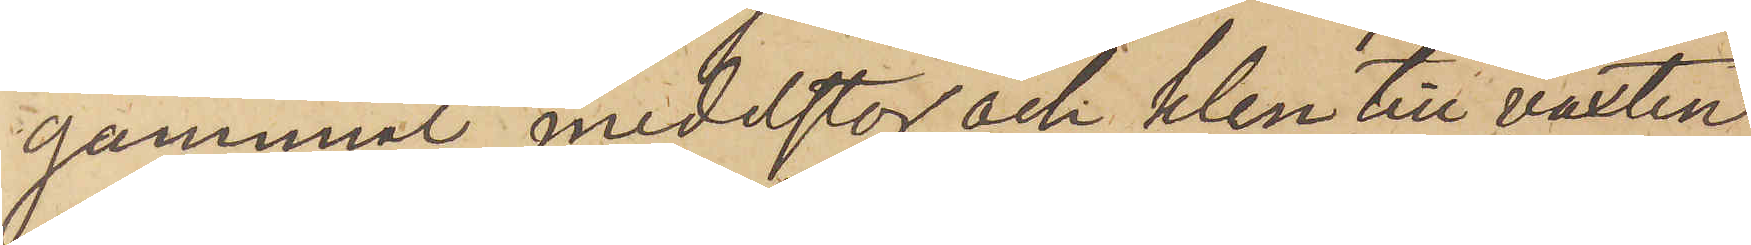gammal, medelstor och klen till växten
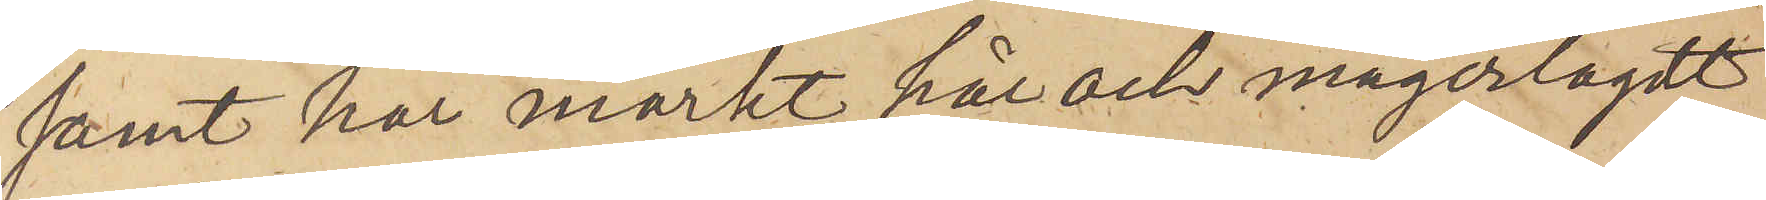samt har mörkt hår och magerlagdt
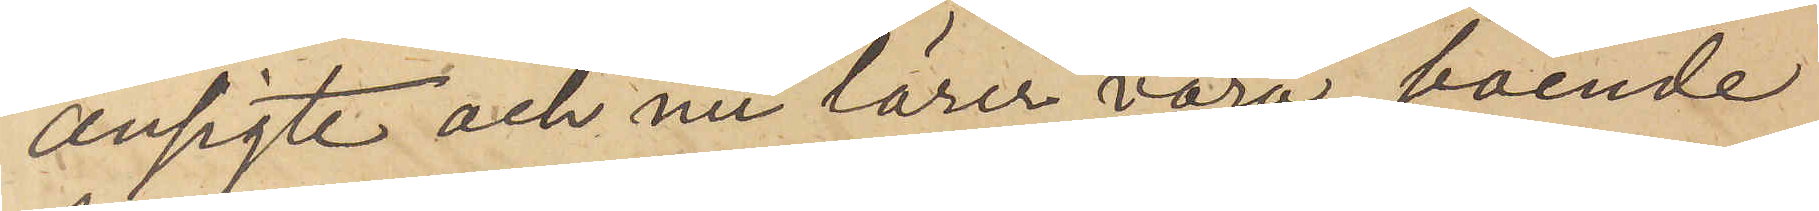ansigte och nu lärer vara boende
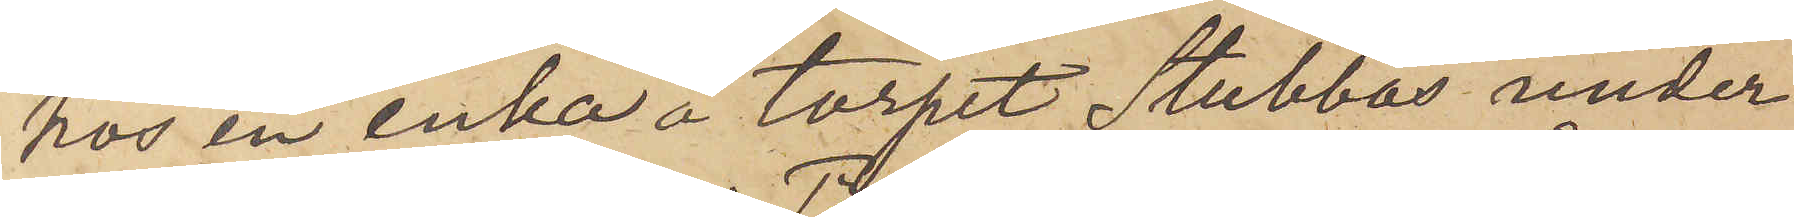hos en enka å torpet Stubbås under
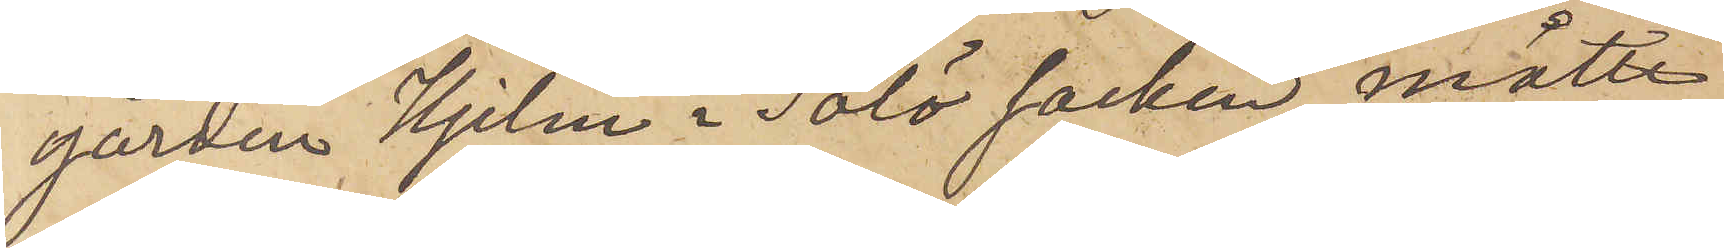gården Hjelm i Tölö socken måtte
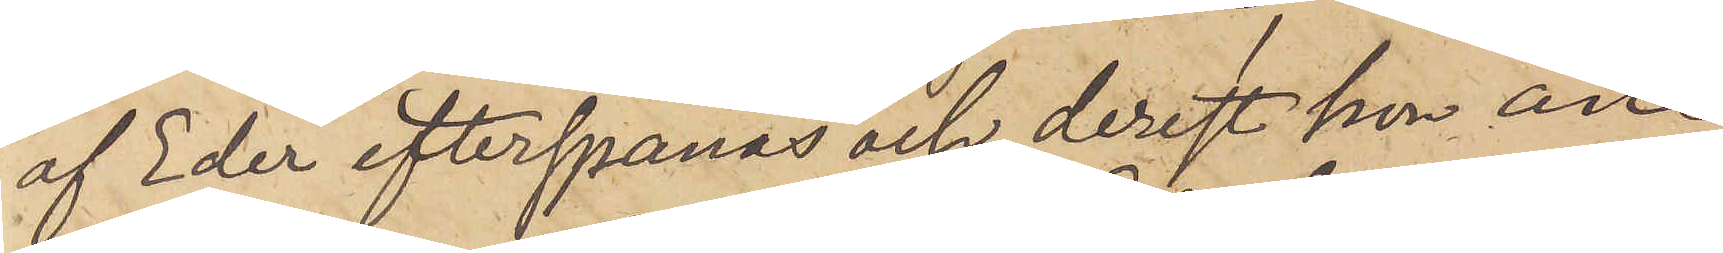af Eder efterspanas och, derest hon an¬
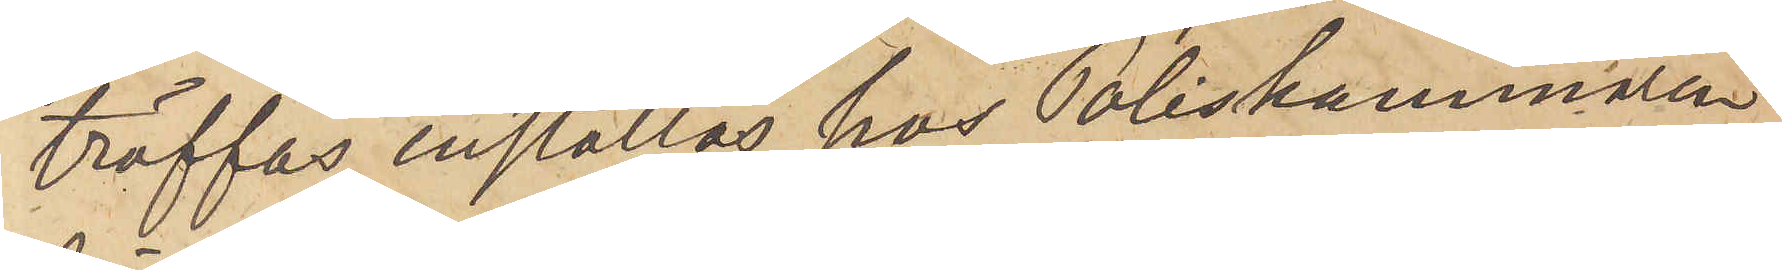träffas, inställas hos Poliskammaren
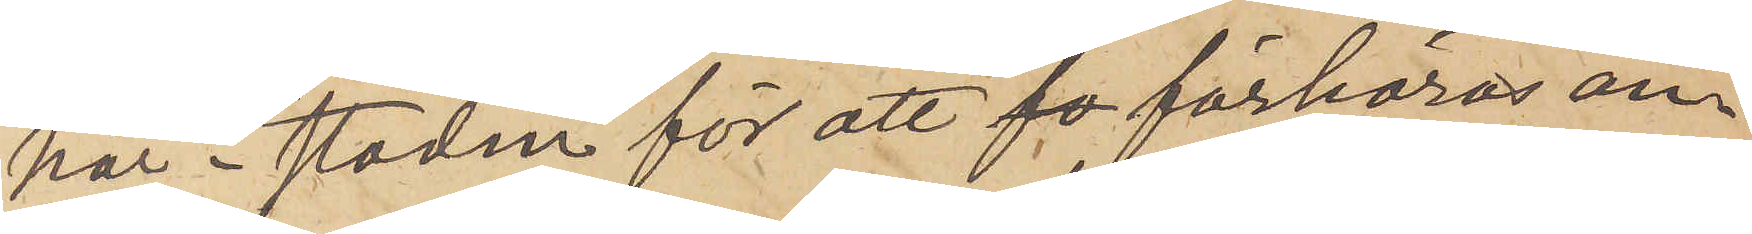här i staden för att fo förhöras an¬
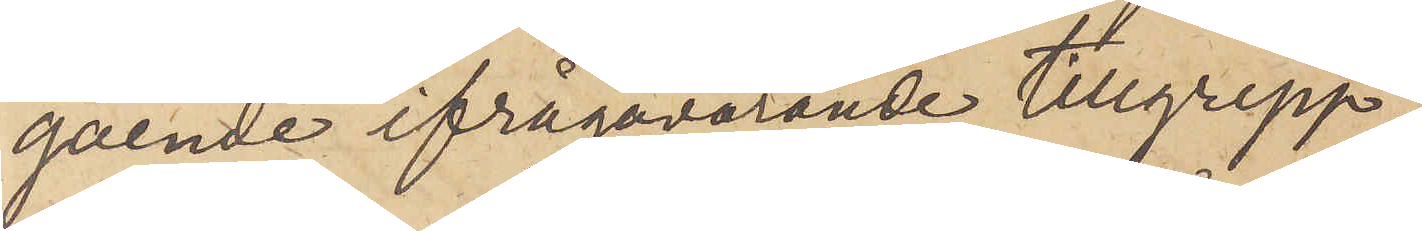gående ifrågavarande tillgrepp,
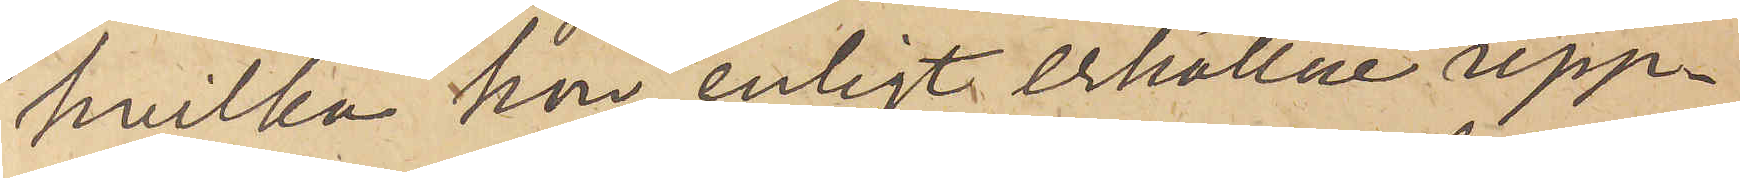hvilka hon, enligt erhållne upp¬
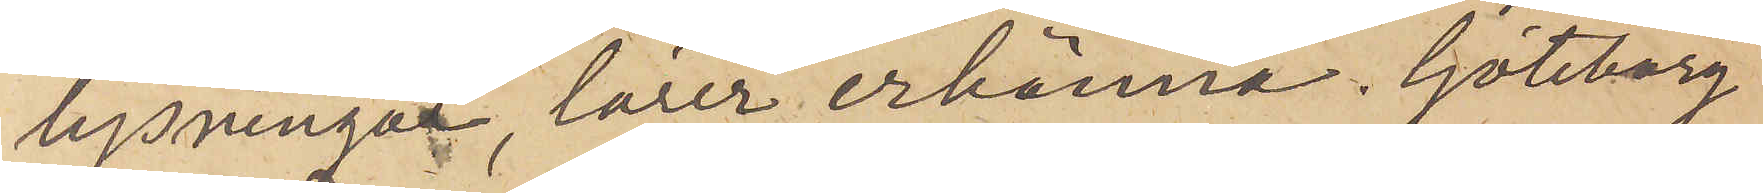lysningar, lärer erkänna. Göteborg
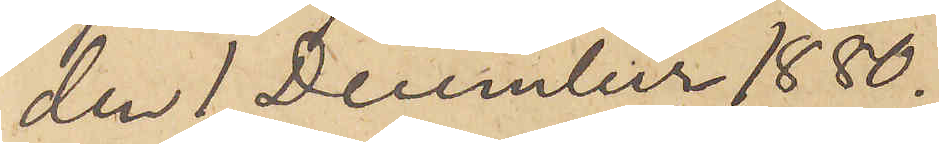den 1 December 1880.
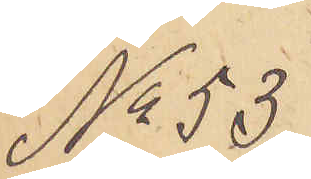No 53
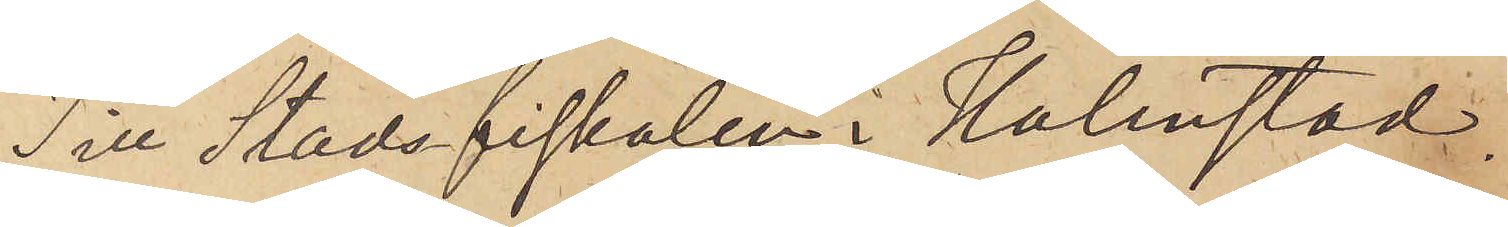Till Stadsfiskalen i Halmstad.
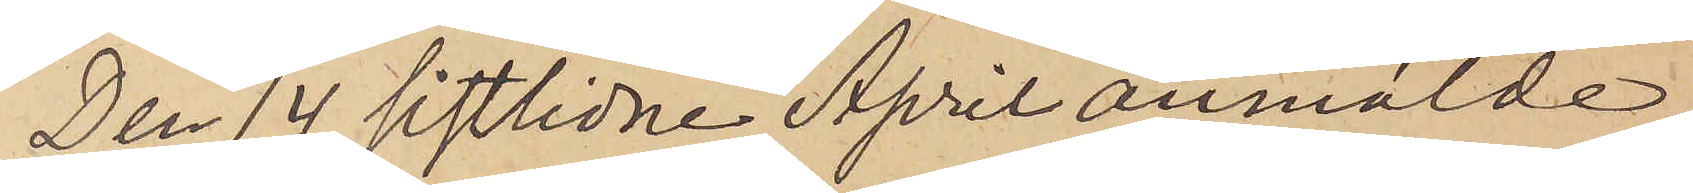Den 14 sistlidne April anmälde
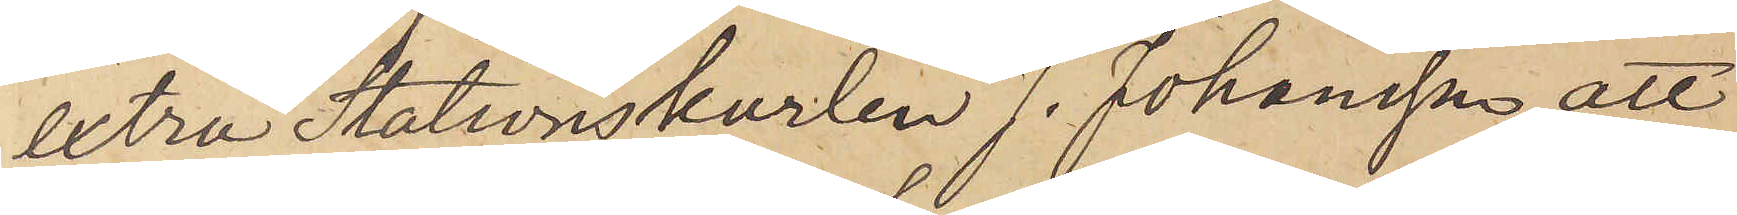extra Stationskarlen J. Johansson, att
